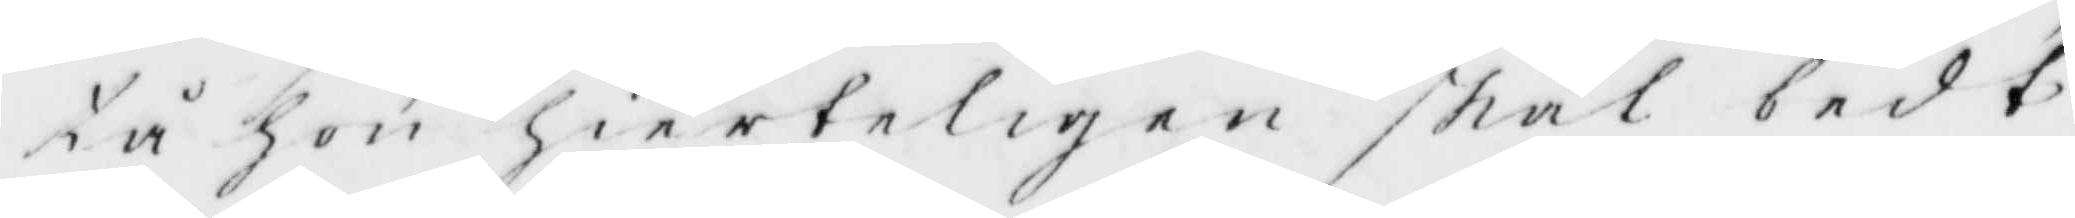tå hon hierteligen skal bedt
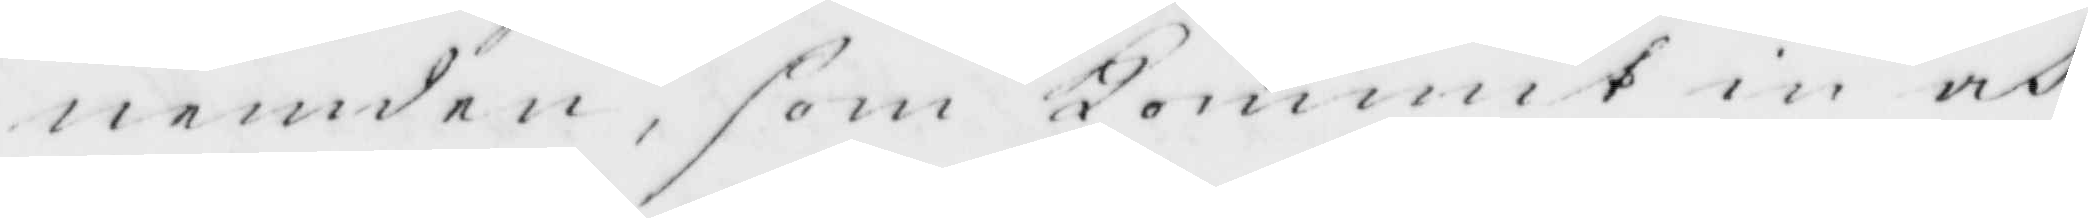nemden, som Kommit in och
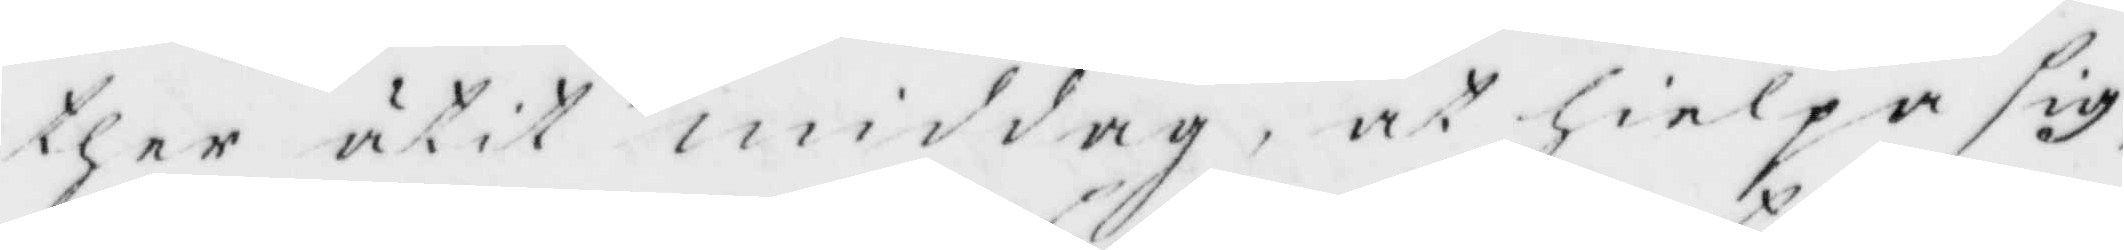ther ätir middag, at hielpa sig,
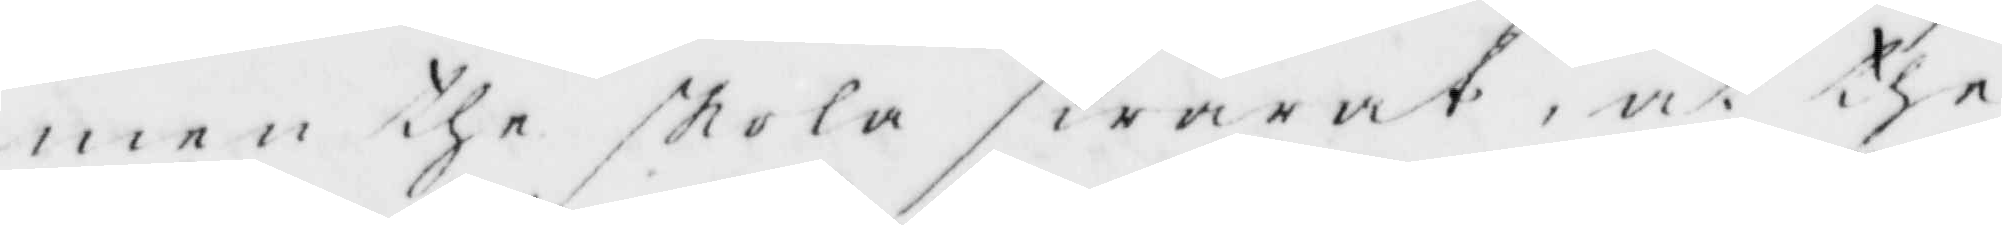men the skola swarat, at the
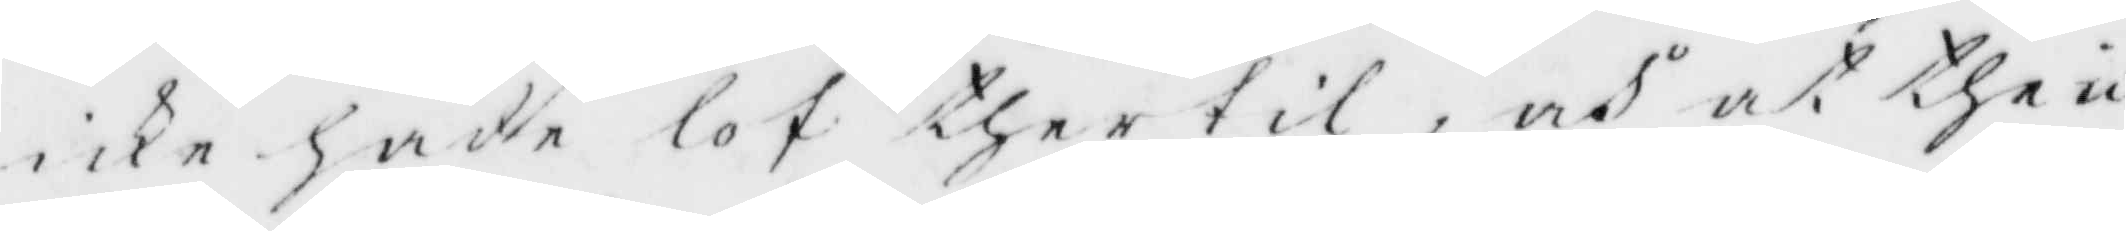icke hade lof thertil, och at the ic¬
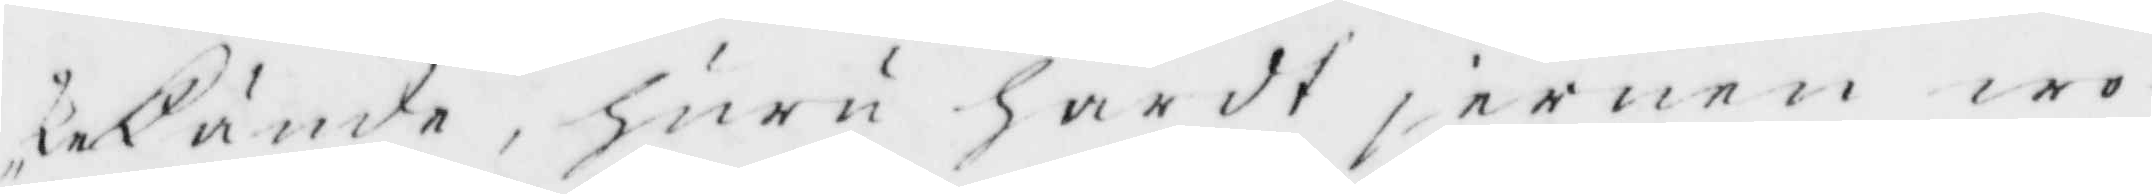ke kände, huru hårdt jernen wo¬
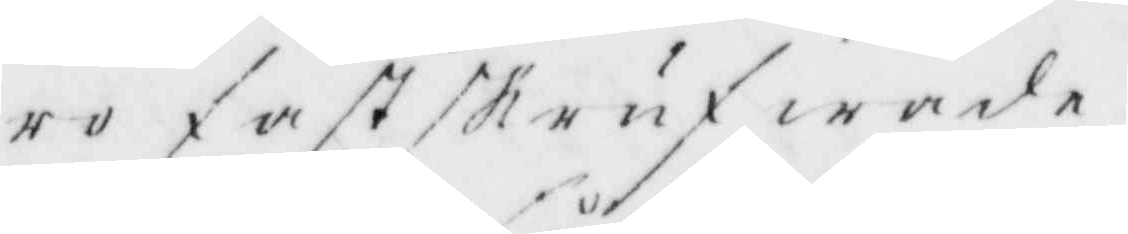ro fastskrufwade. 
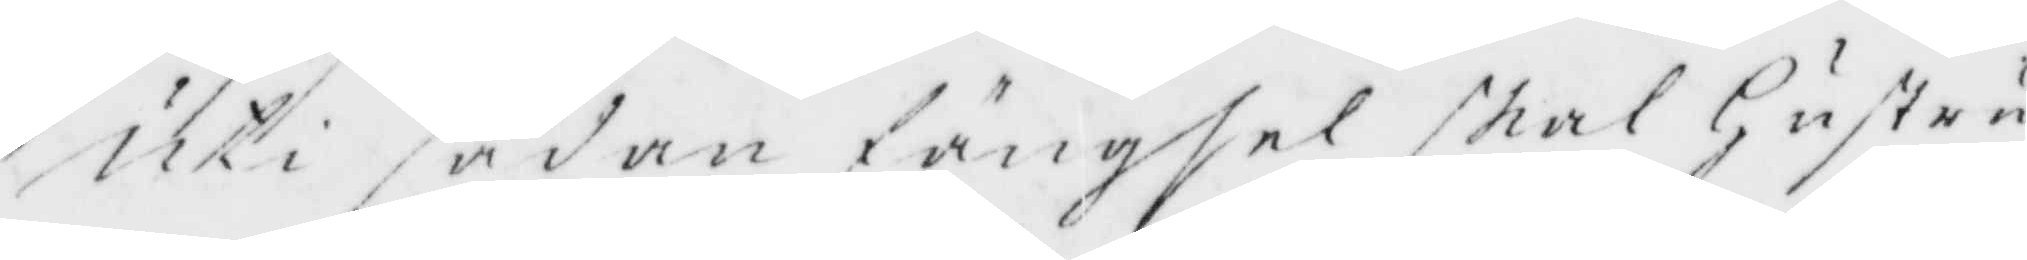Uti sådan fängsel skal Hustru
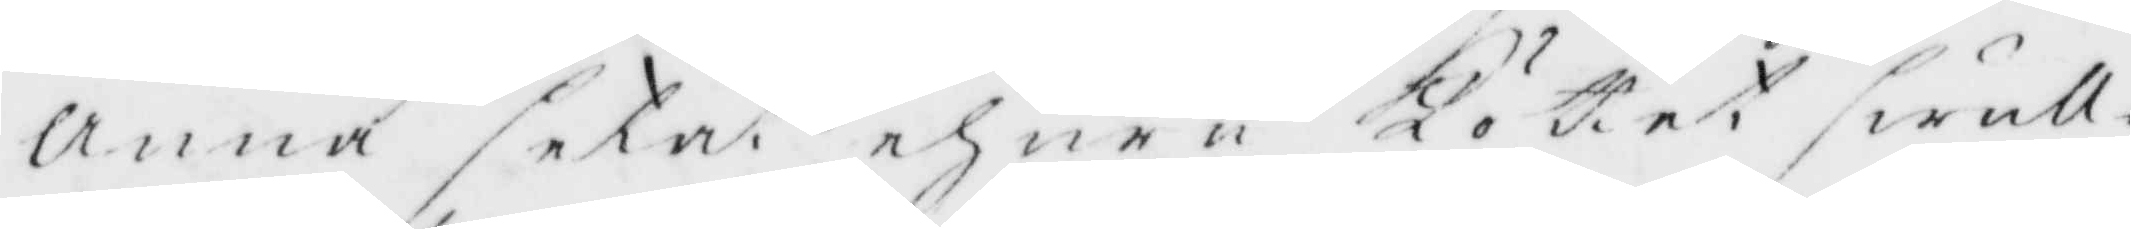Anna setat ehuru Köttet swull¬
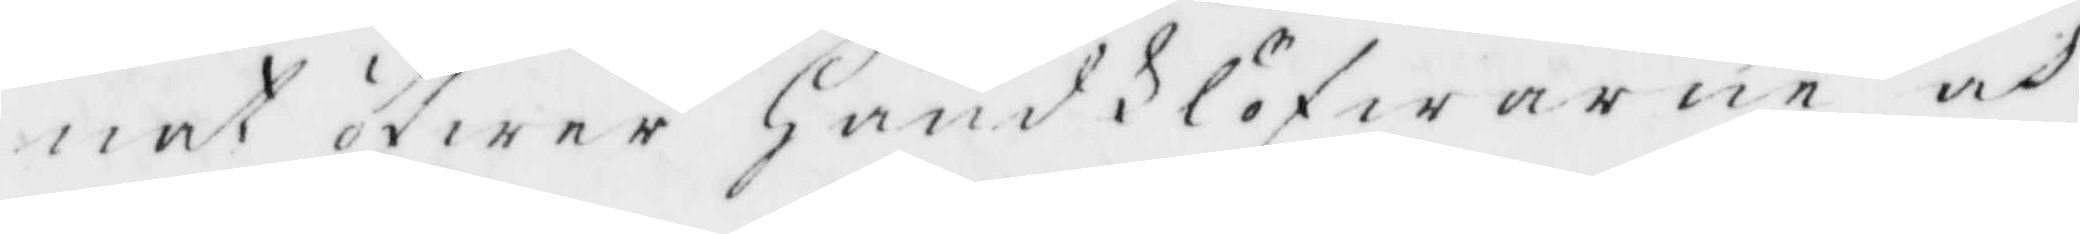nat öfwer Hansklöfwarne och
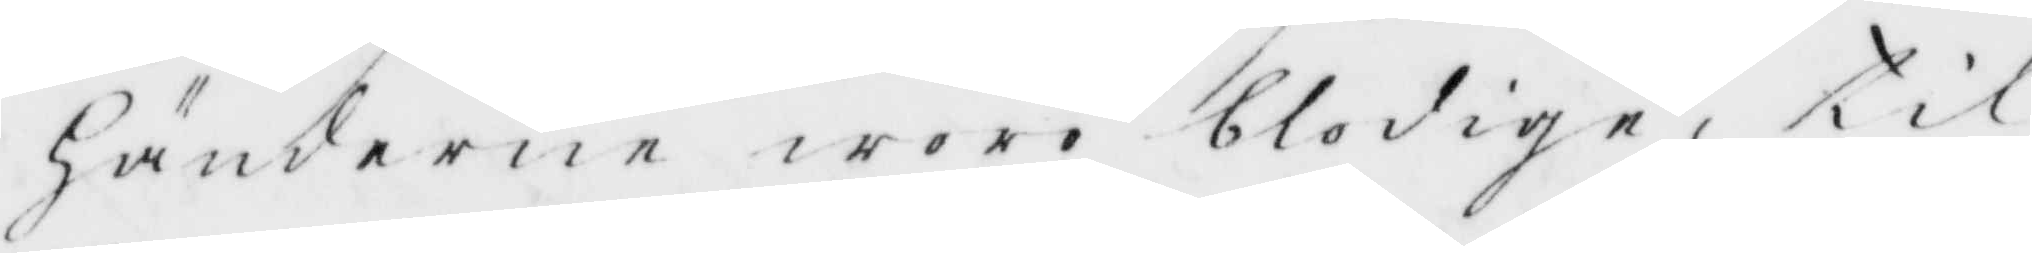Händerne woro blodige, til
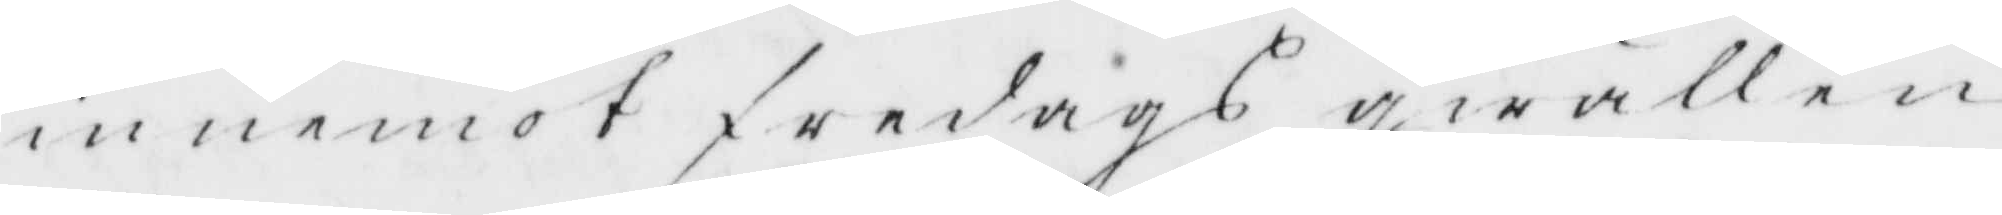innemot fredags qwällen
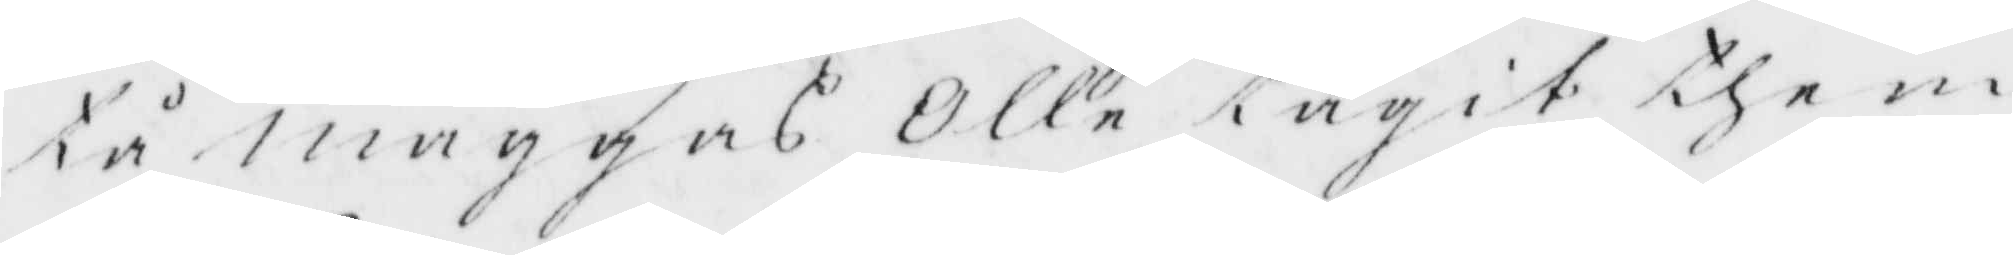tå maggas Olle tagit them
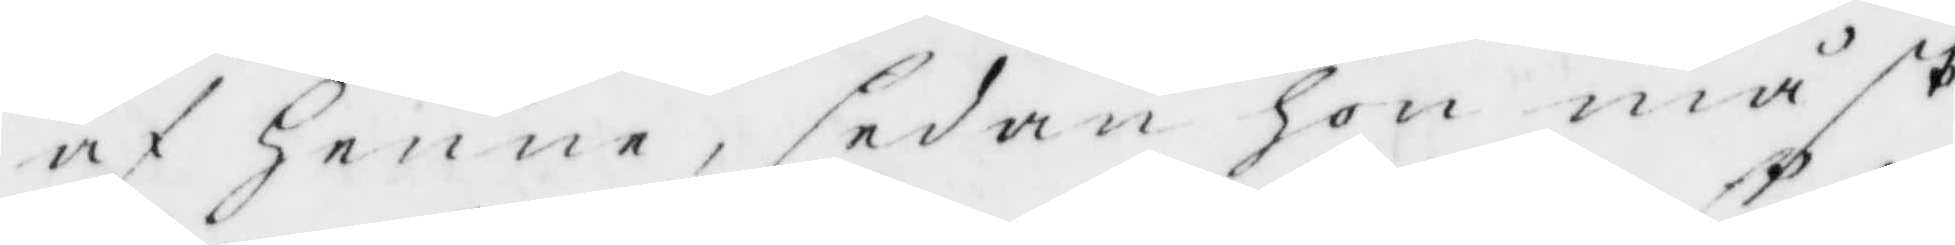af Henne, sedan Hon måst
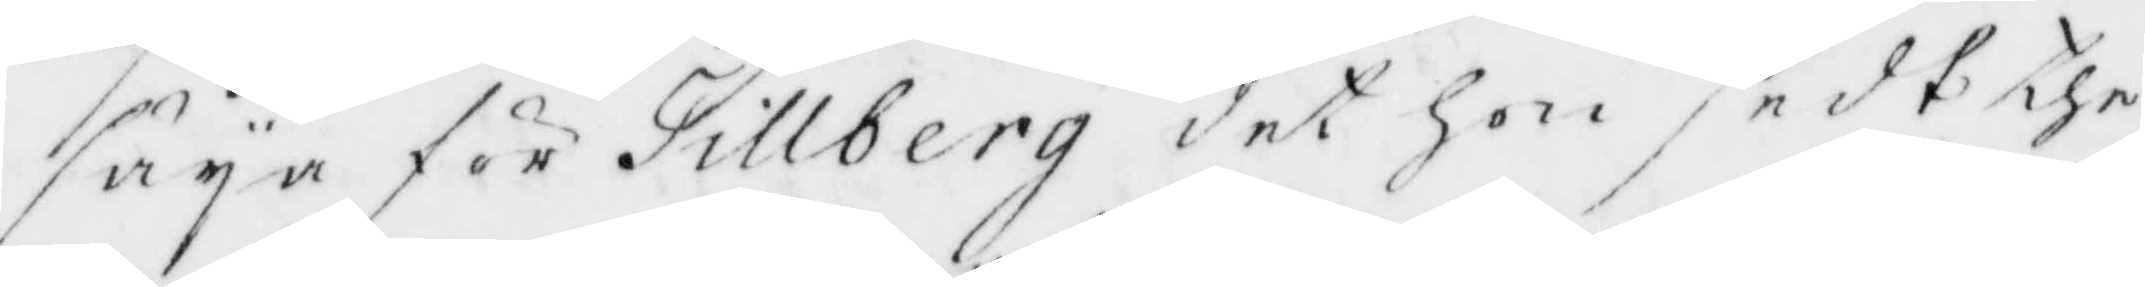säja för Tillberg det hon sedt the
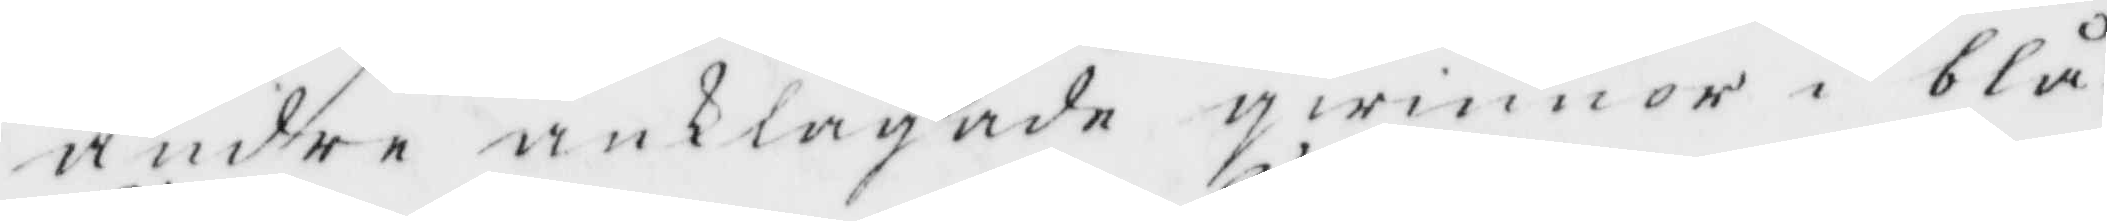andre anklagade qwinnor i blå¬
